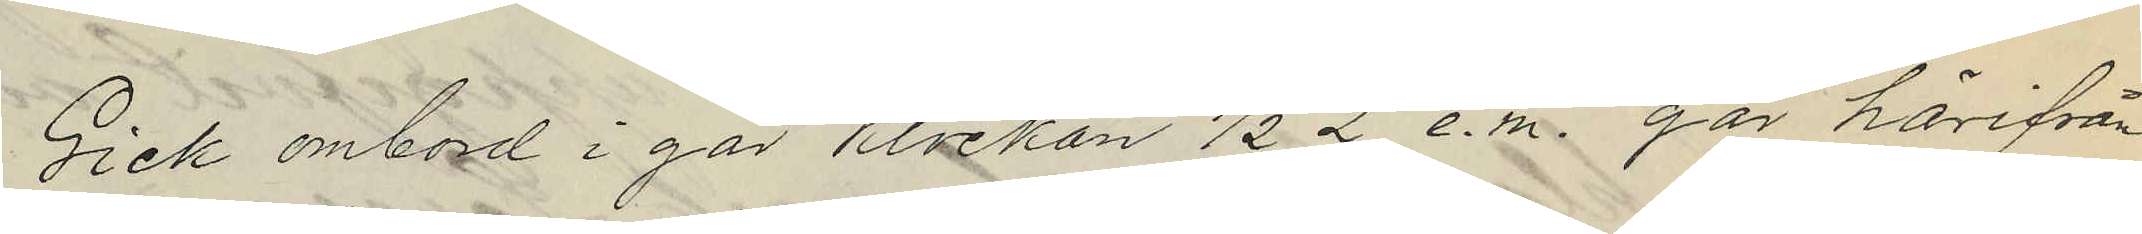Gick ombord i går Klockan 1/2 2 e.m. går härifrån
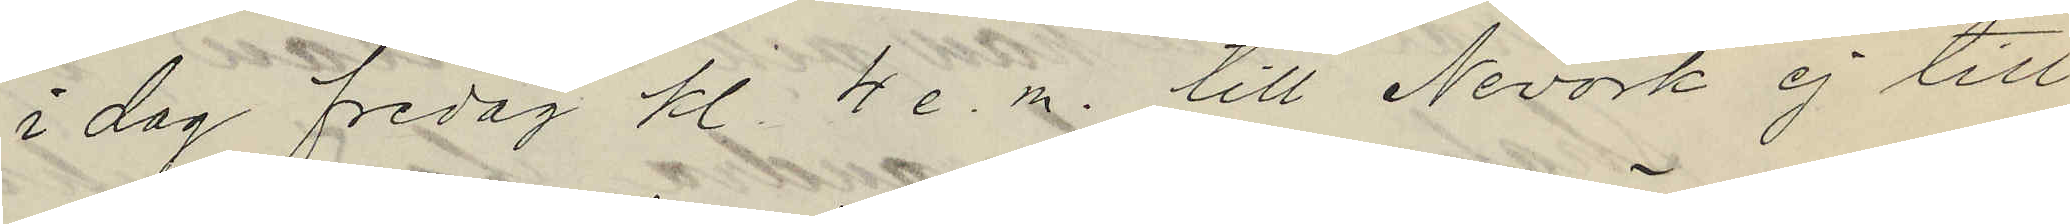i dag fredag kl. 4 e.m. till Nevork ej till
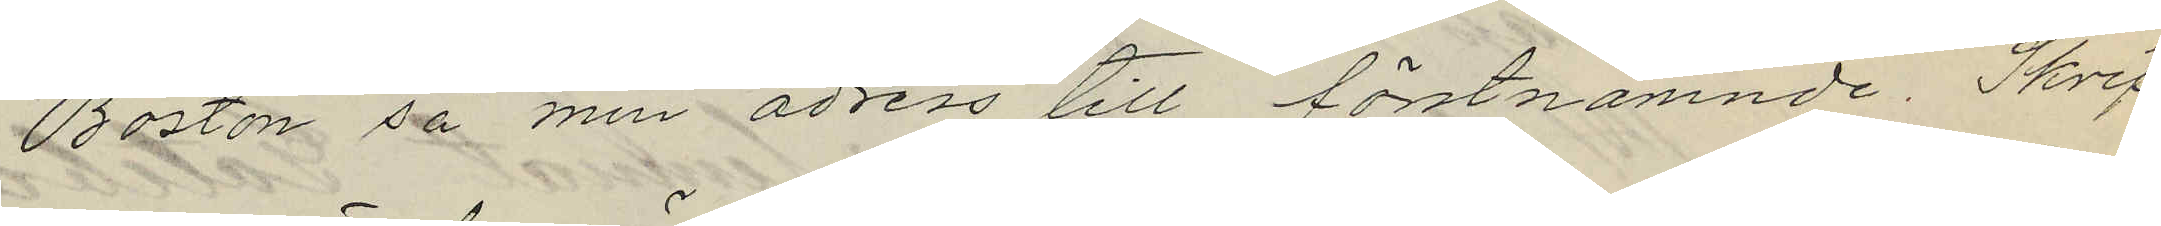Boston så min adress till förstnämnde. Skrif
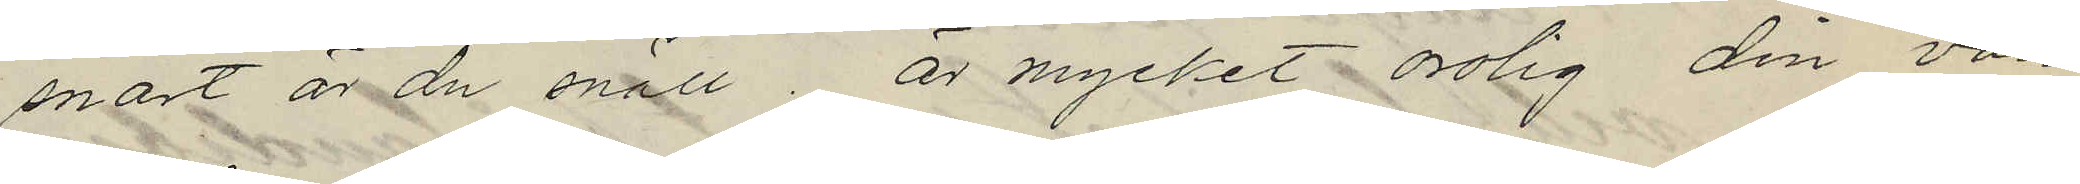snart är du snäll. är mycket orolig din vän
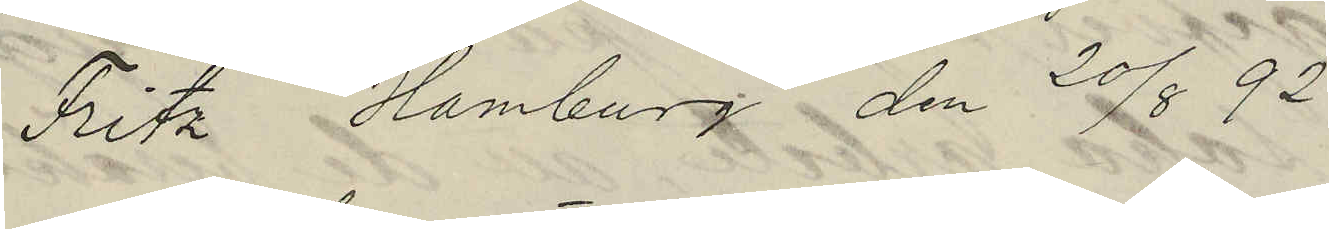Fritz Hamburg den 20/8 92
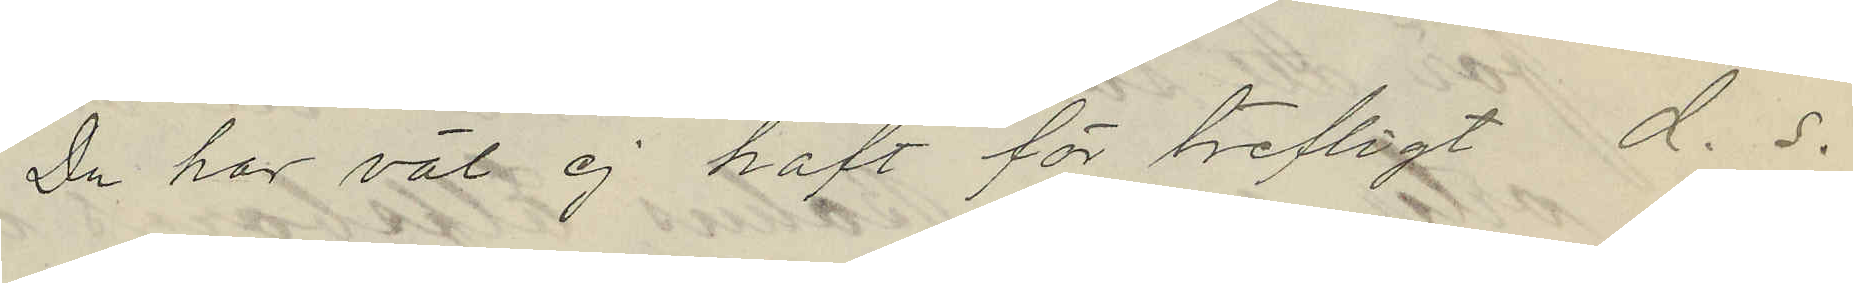Du har väl ej haft för trefligt d. s.
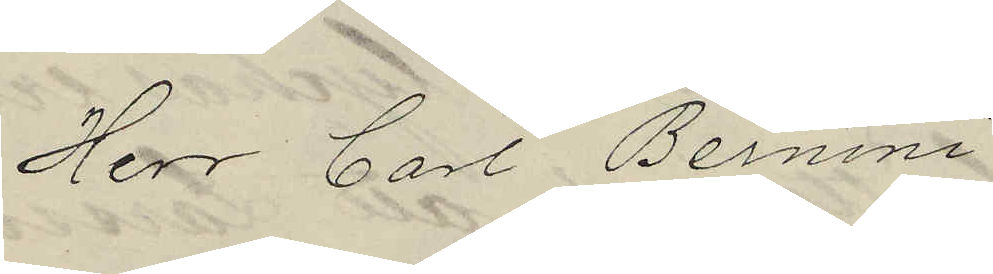Herr Carl Bernini
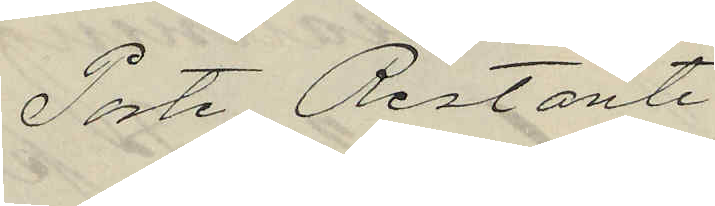Poste Restante
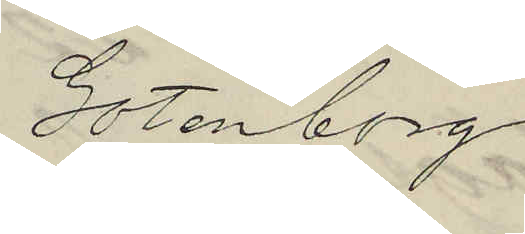Gotenborg
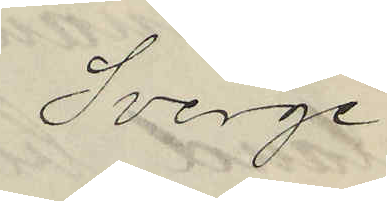Sverge
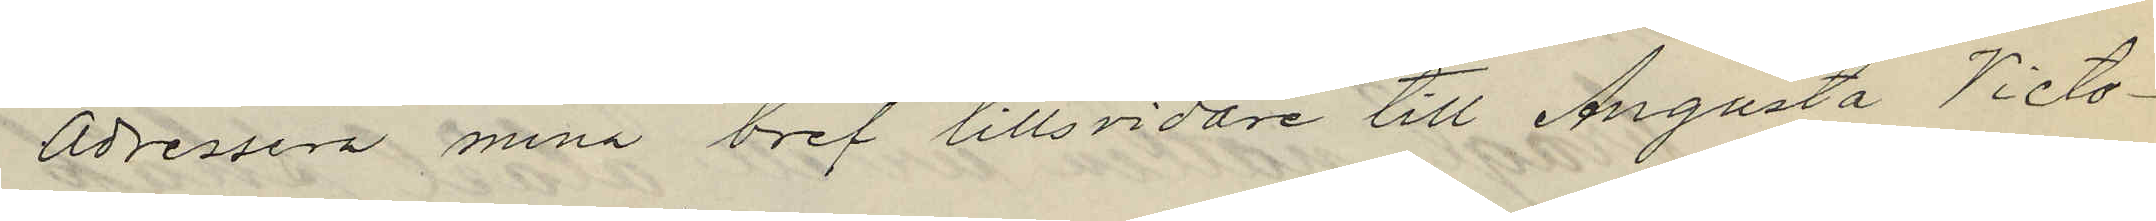Adressera mina bref tills vidare till Augusta Victo¬
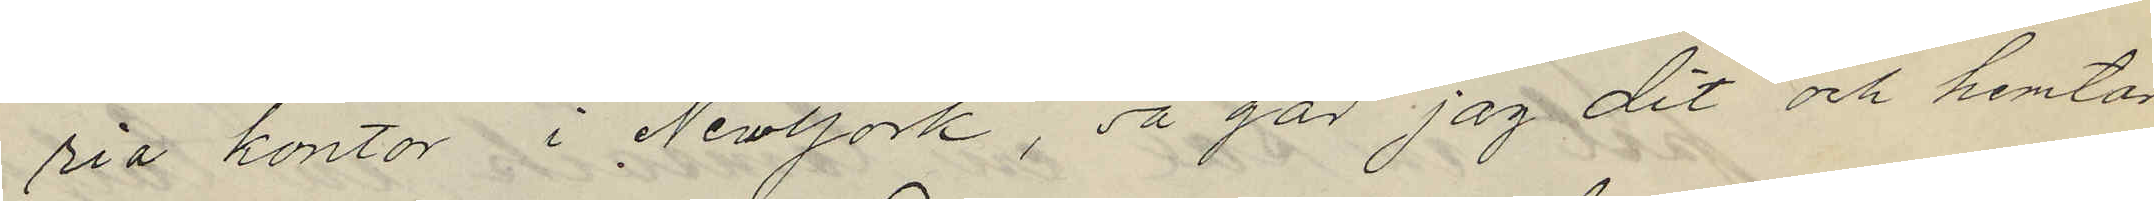ria kontor i New York, så går jag dit och hemtar
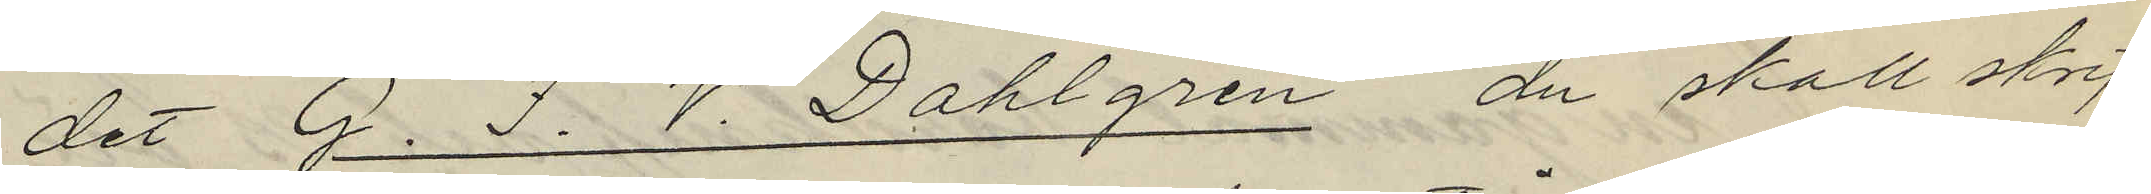det G. F. V. Dahlgren du skall skrif¬
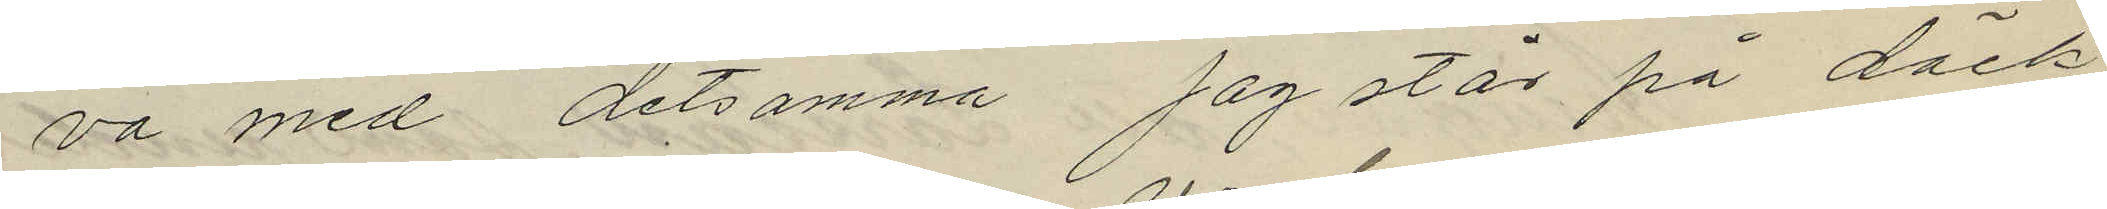va med detsamma jag står på däck
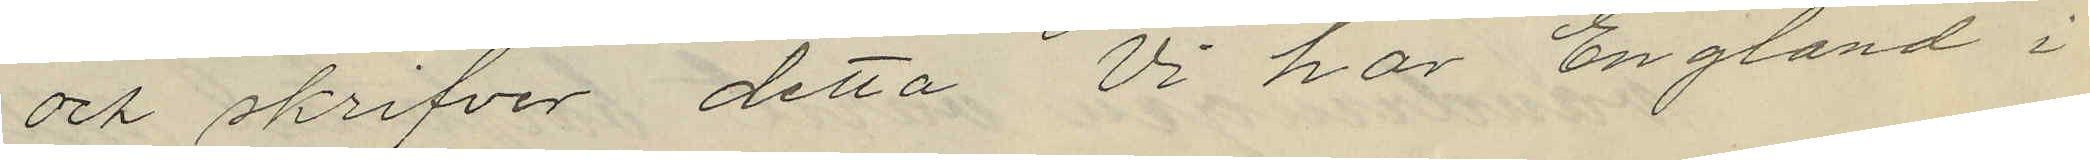och skrifver detta Vi har England i
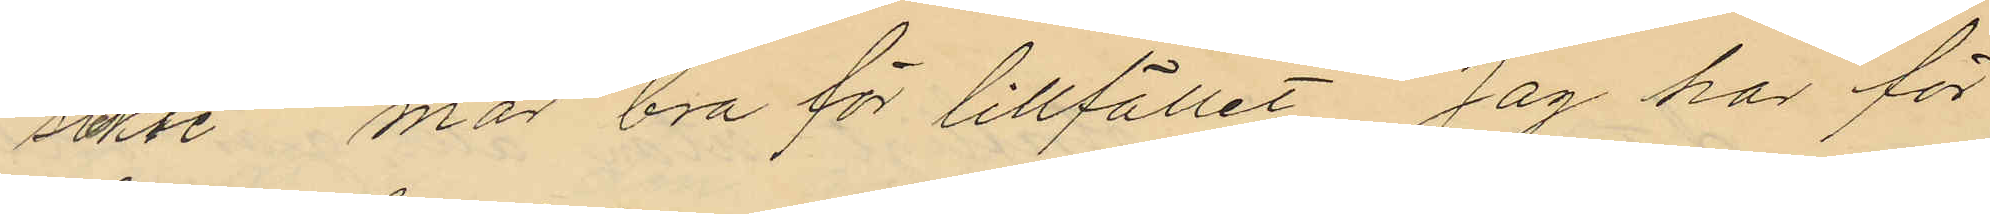sikte mår bra för tillfället Jag har för
